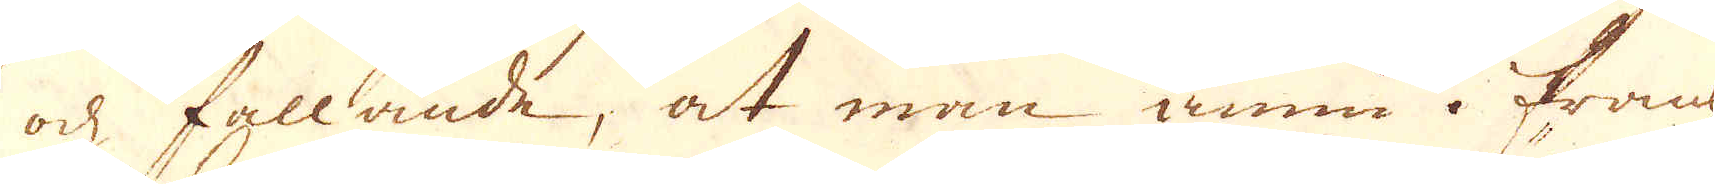ock fallande, at man ännu i Frank-
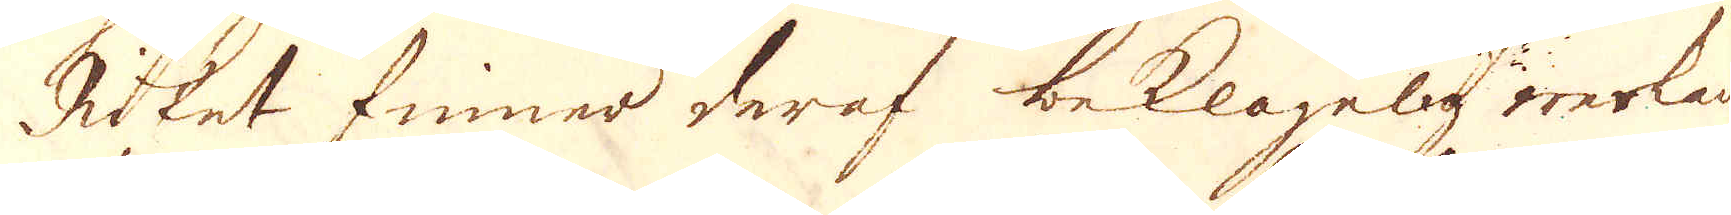Riket finner deraf beklagelig werkan.
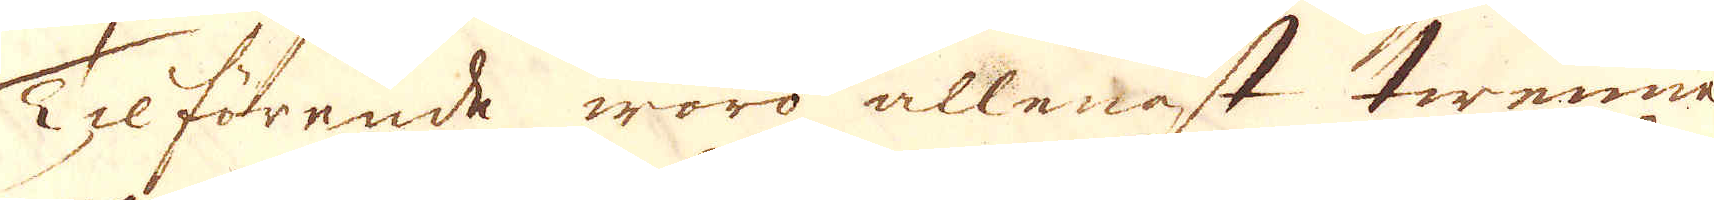Tilförende woro allenast twenne
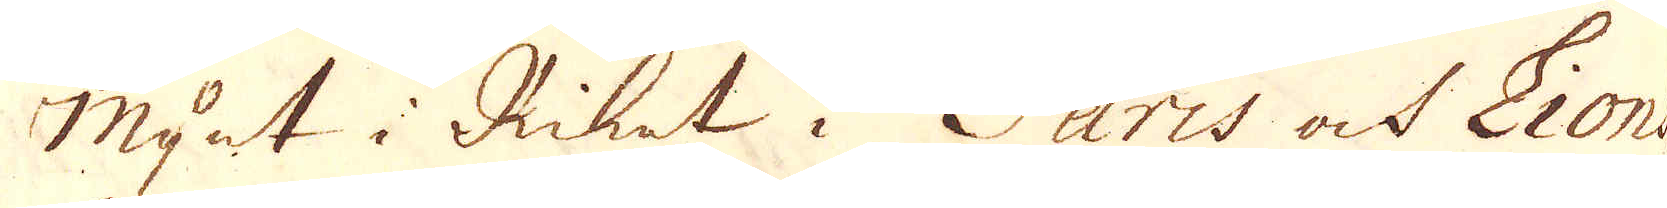Mynt i Riket i Paris ock Lions
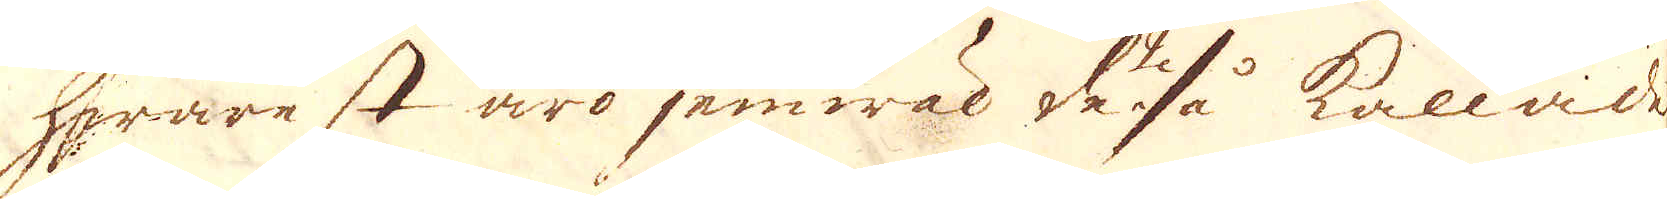hwarest äro jemwäl däså kallade
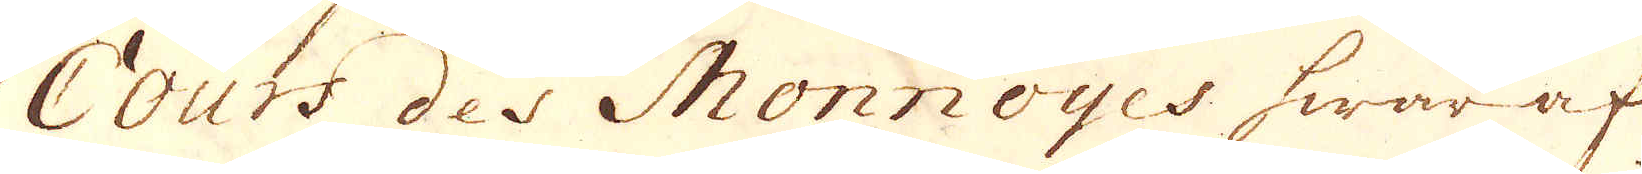Cours des Monnoyes hwaraf
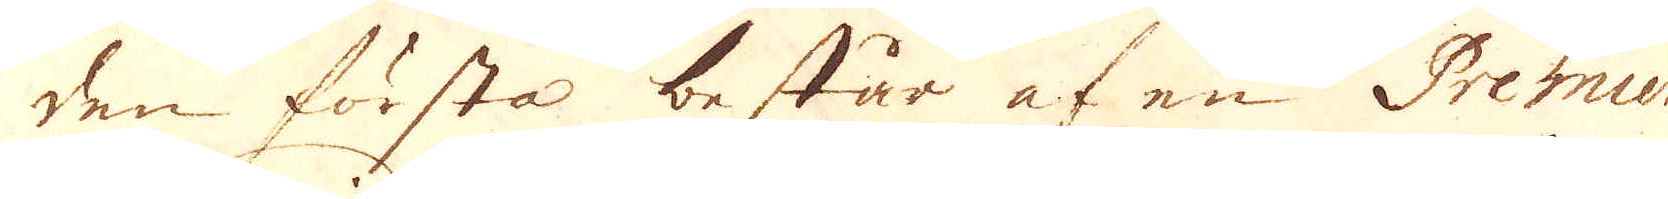den första består af en Premier
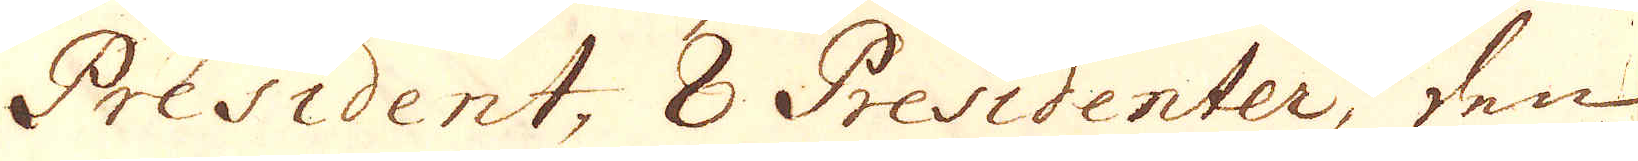President, 8 Presidenter, den
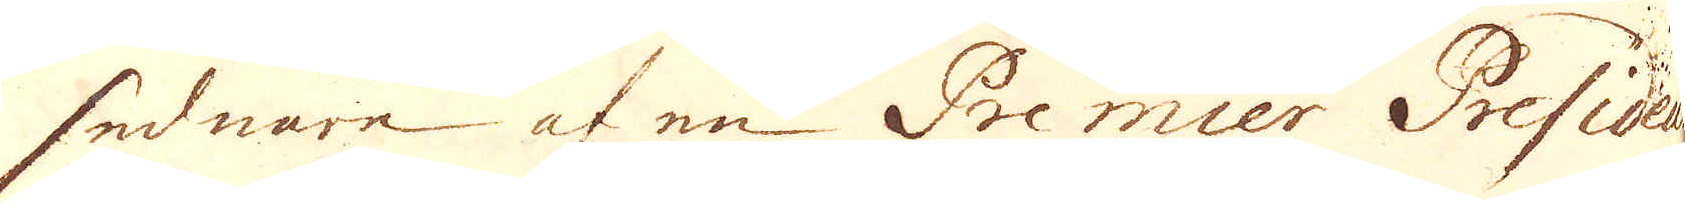sednare af en Premier President
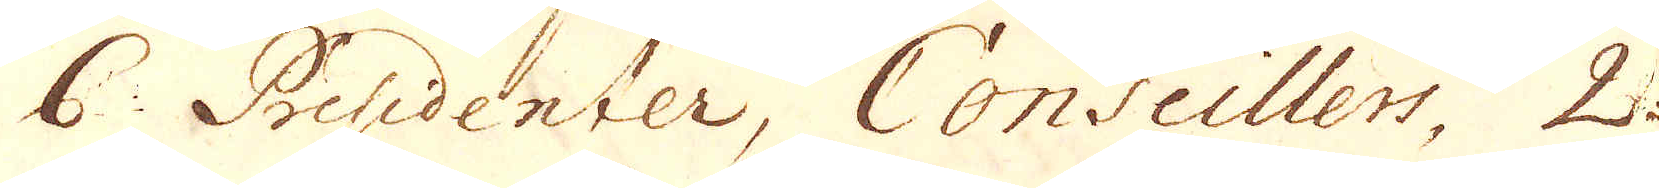6 Presidenter, Conseillers, 2
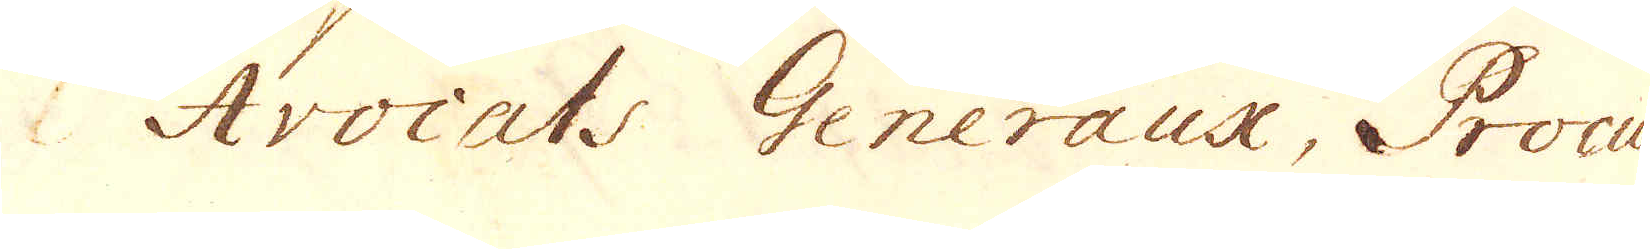Avocats Generaux, Procu-
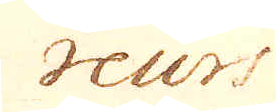reurs
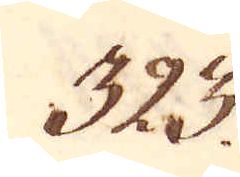323.
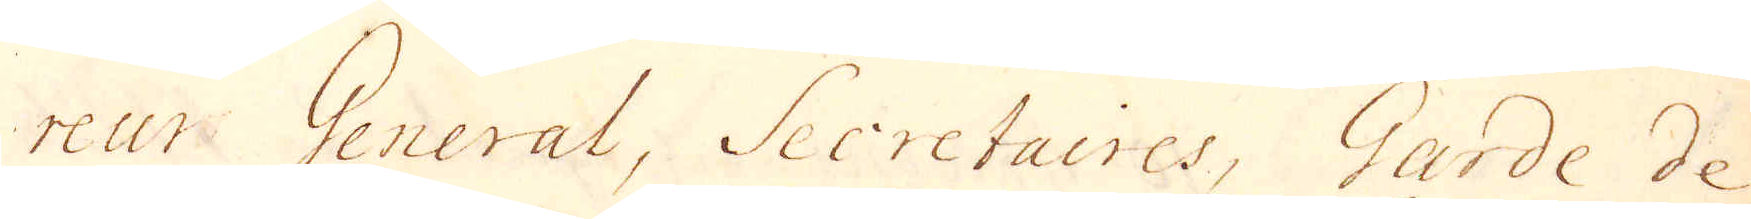reur Gereral, Secretaires, Gerde de
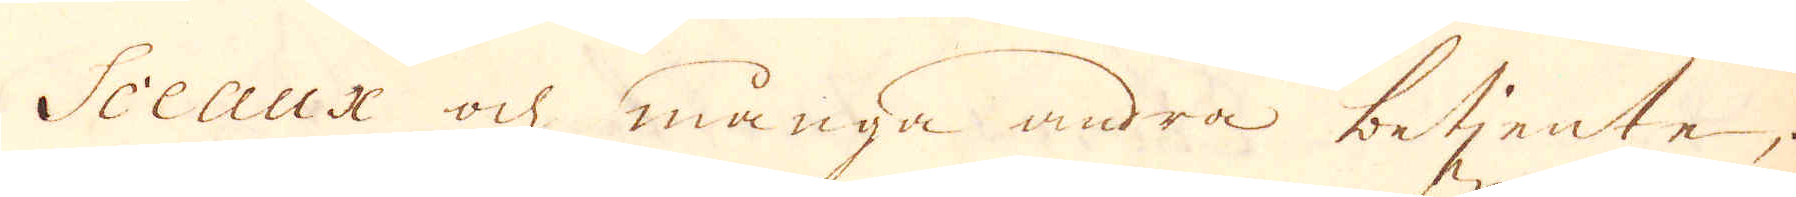Sceaux och många andra betiente;
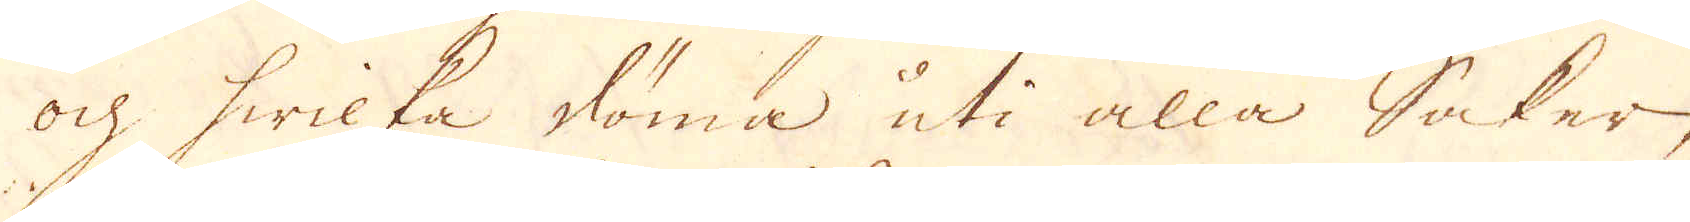ock hwilka döma uti alla Saker,
